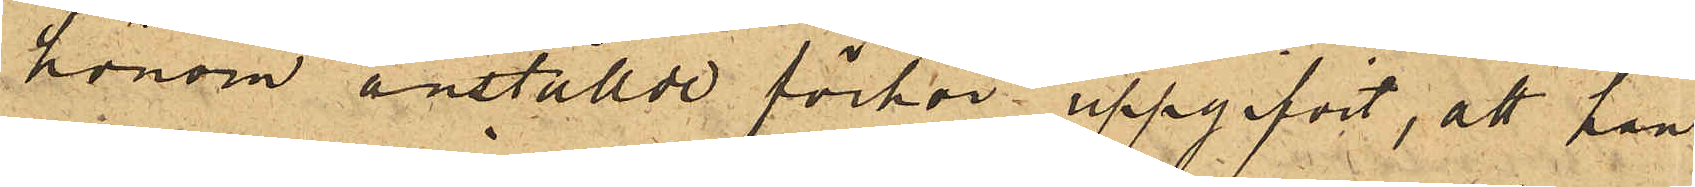honom anställde förhör uppgifvit, att han
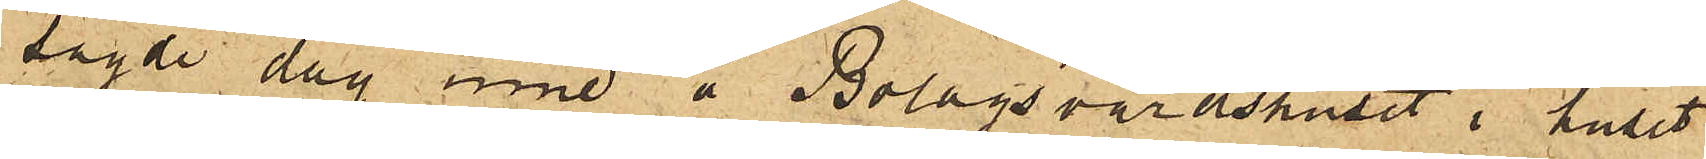sagde dag inne å Bolagsvärdshuset i huset
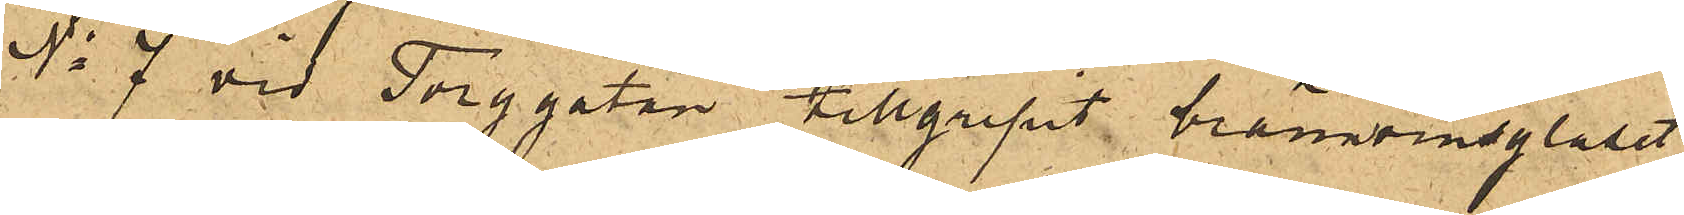No 7 vid Torggatan tillgripit brännvinsglaset,
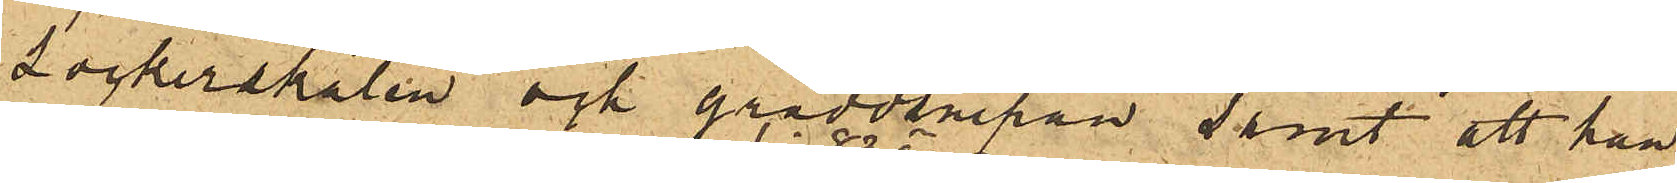sockerskålen och gräddsnipan samt att han
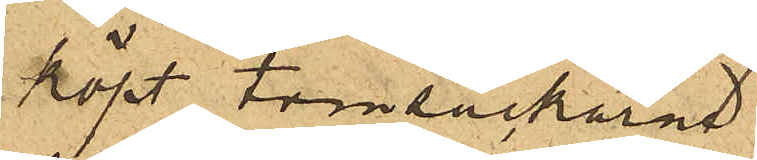köpt tomsäckarne
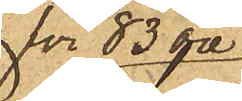för 83 öre
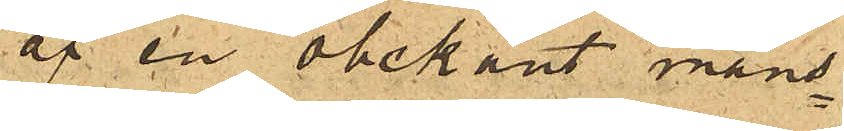af en obekant mans¬
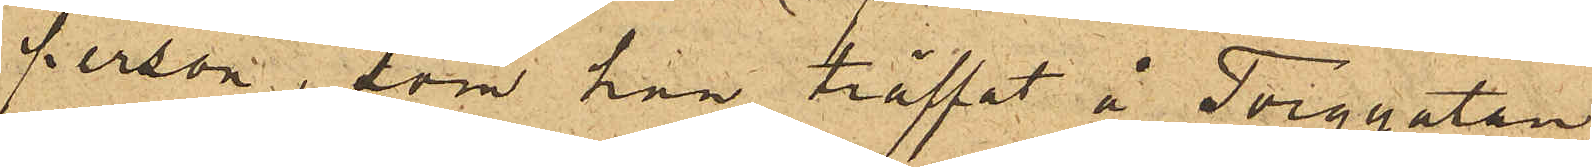person, som han träffat å Torggatan.
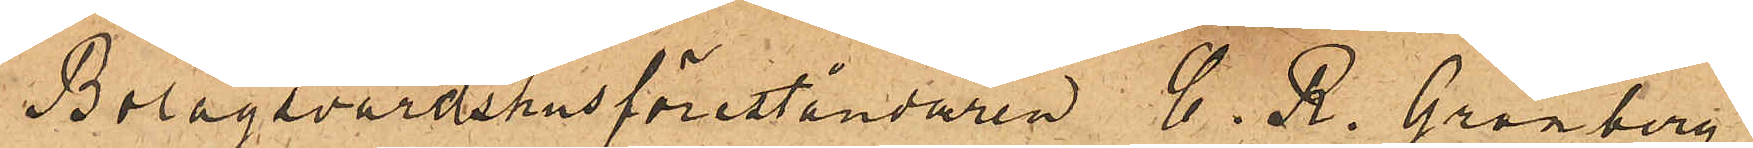Bolagsvärdshusföreståndaren C. R. Grönberg
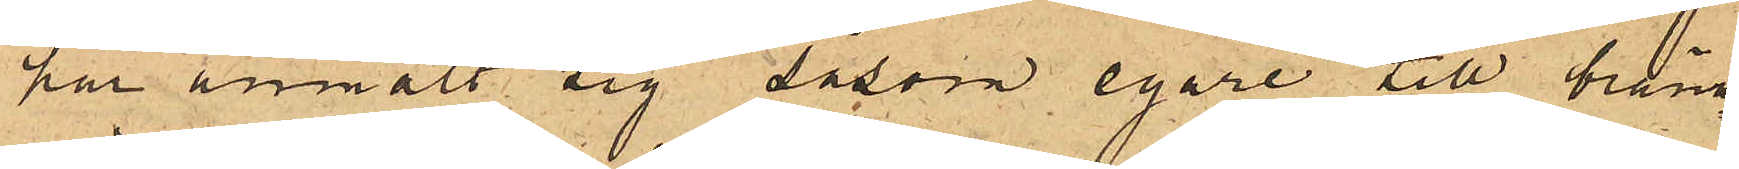har anmält sig såsom egare till bränn¬
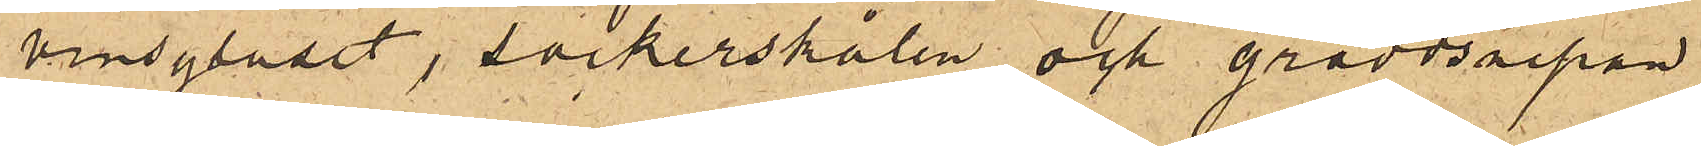vinsglaset, sockerskålen och gräddsnipan
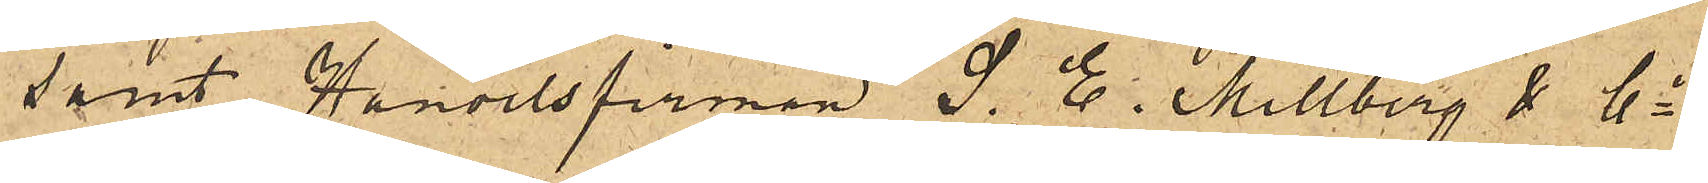samt Handelsfirman S. E. Millberg & Co
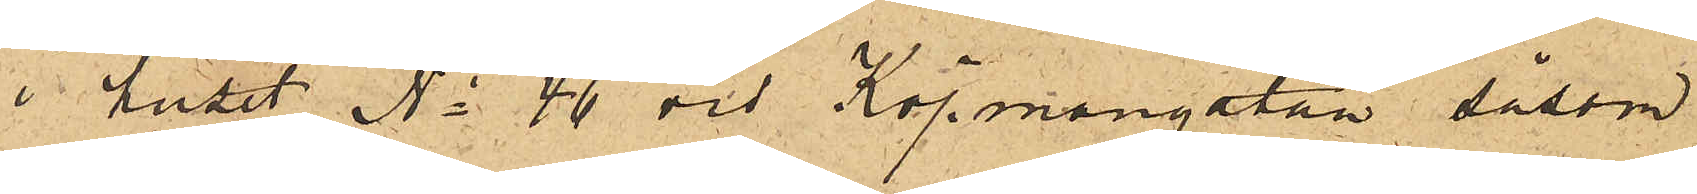i huset No 46 vid Köpmangatan såsom
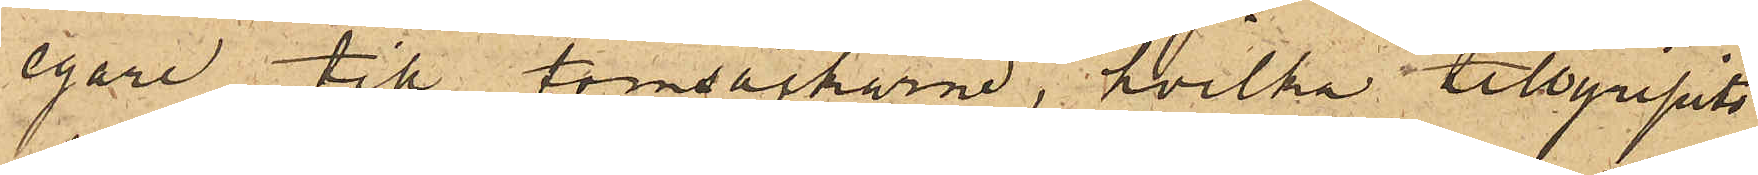egare till tomsäckarne, hvilka tillgripits
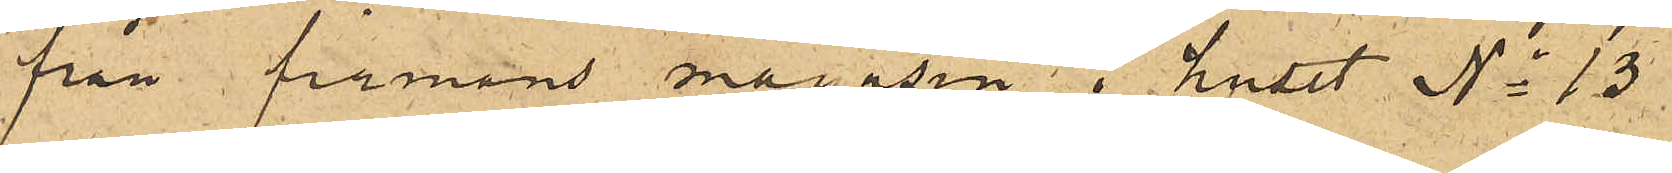från firmans magasin i huset No 13
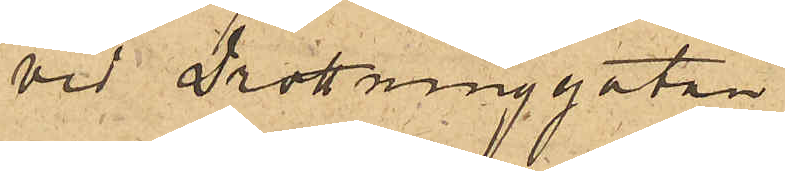vid Drottninggatan.
